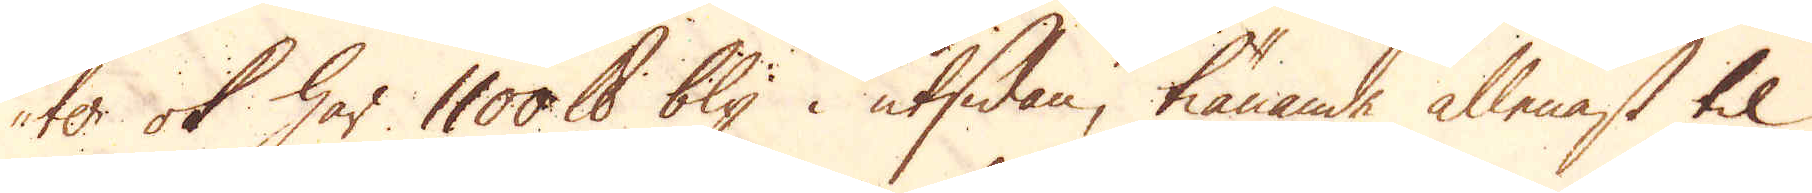ter ok har 1100 skålpund bly i utsidan, tiänande allenast til
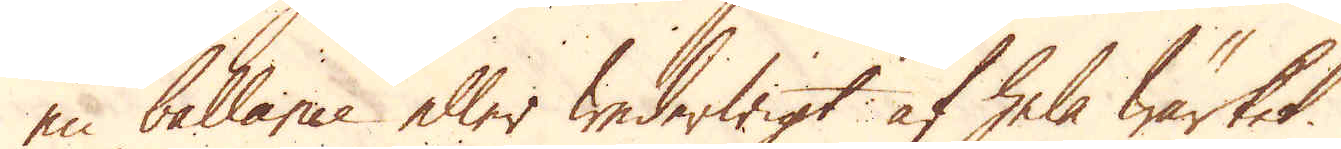en ballance eller wederwigt af hela Wärket.
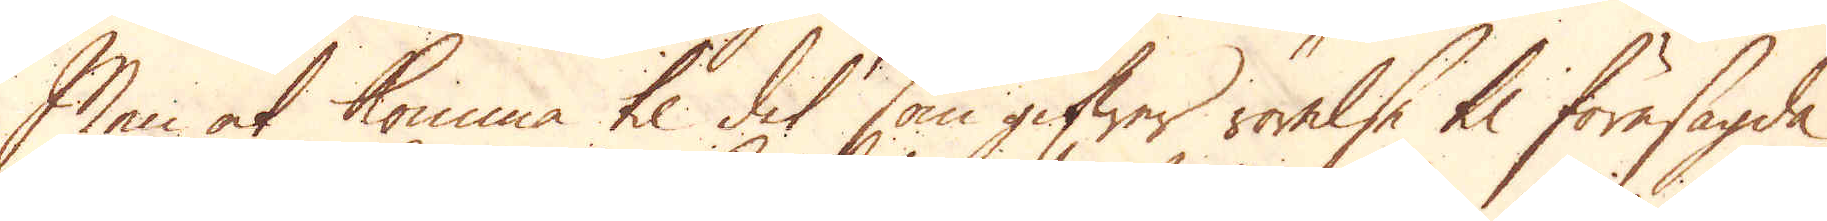Men at komma til det som gifwer rörelse til föresagda
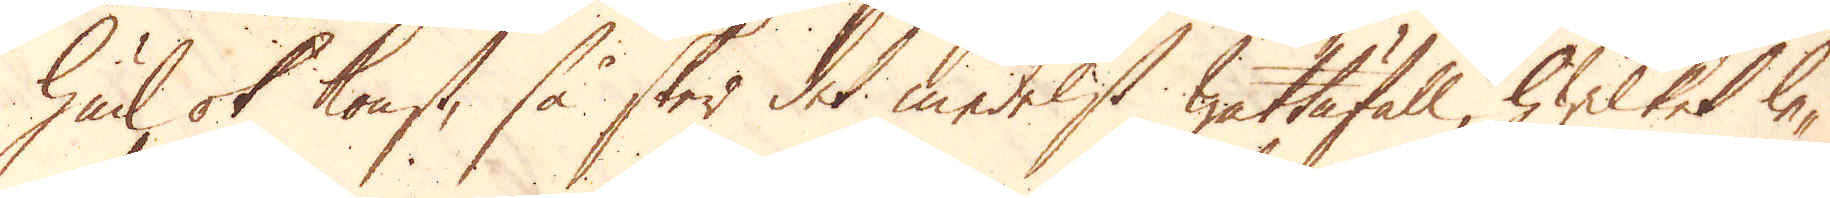hiul ok konst, så sker det medelst wattufall, hwilket le-
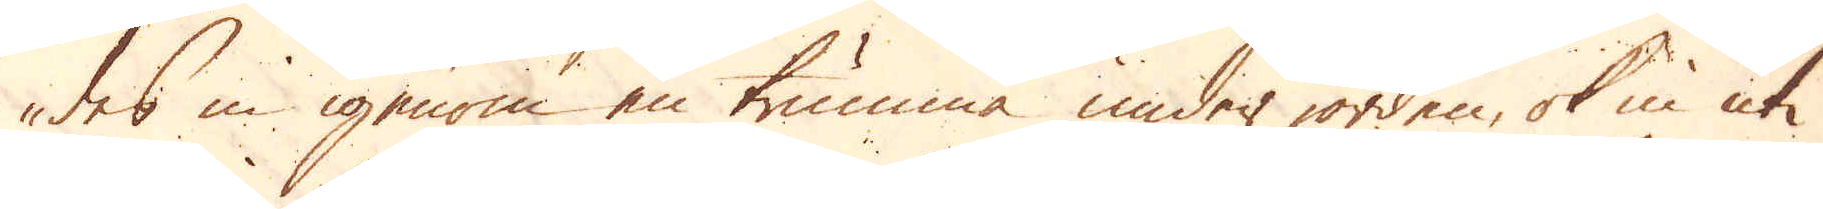des in igenom en trumma under jorden, ok in uti
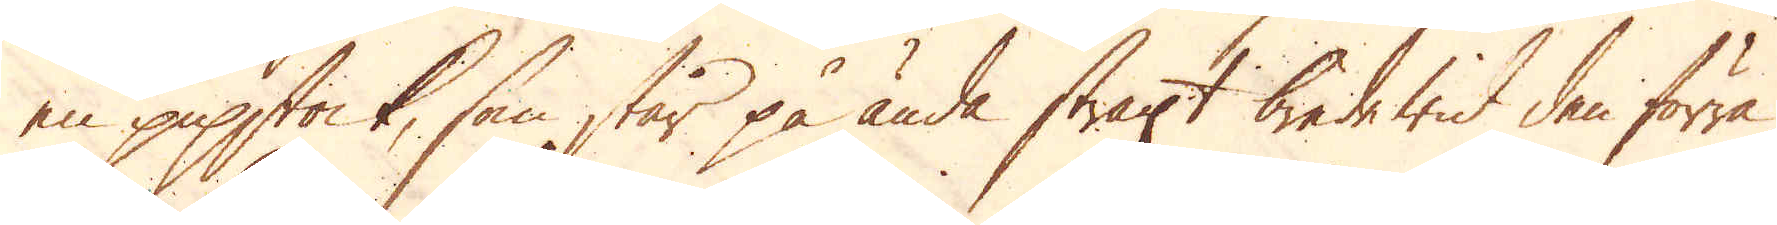en pipstock, som står på ända straxt bredde wid den förra.
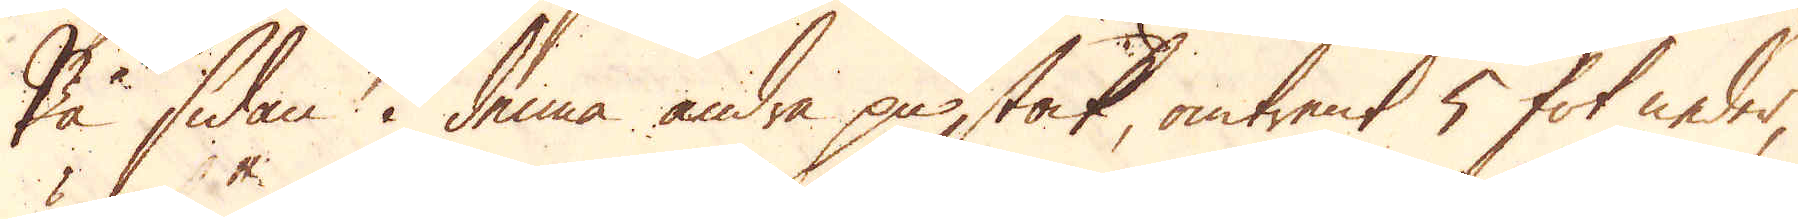På sidan i denna andra pipstock, omtrent 5 fot neder,
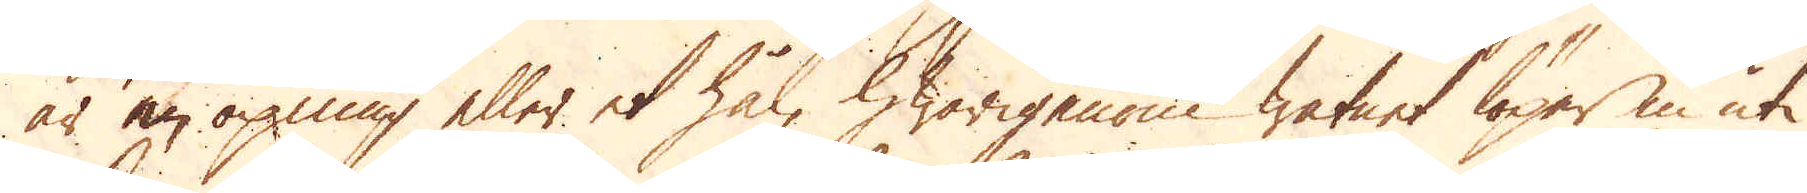är en öpning eller et hål, hwarigenom watnet löper in uti
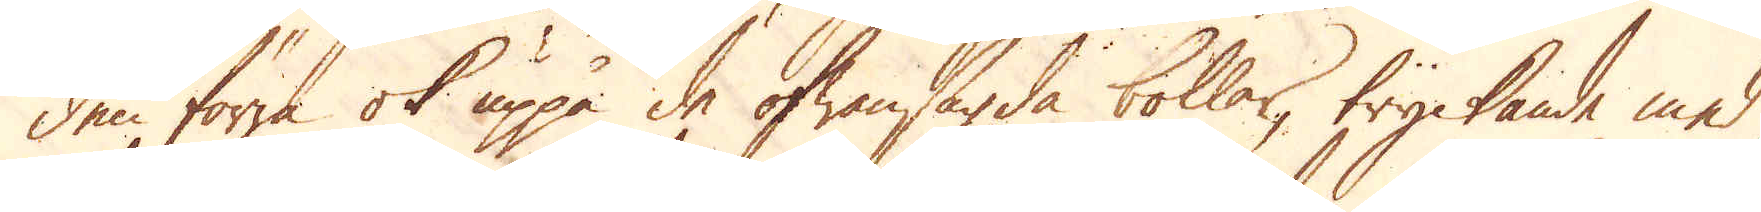den förra ok uppå de ofwansagda bollar, tryckande med
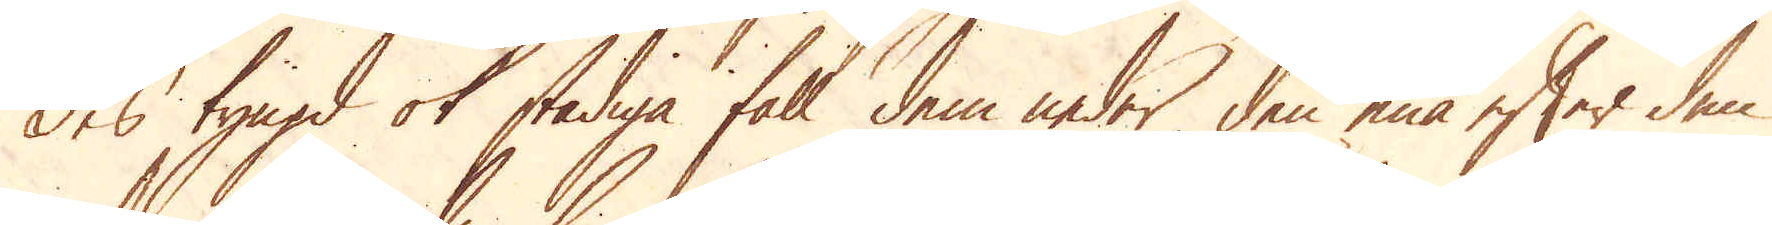des tyngd ok stadiga fall dem neder den ena efter den
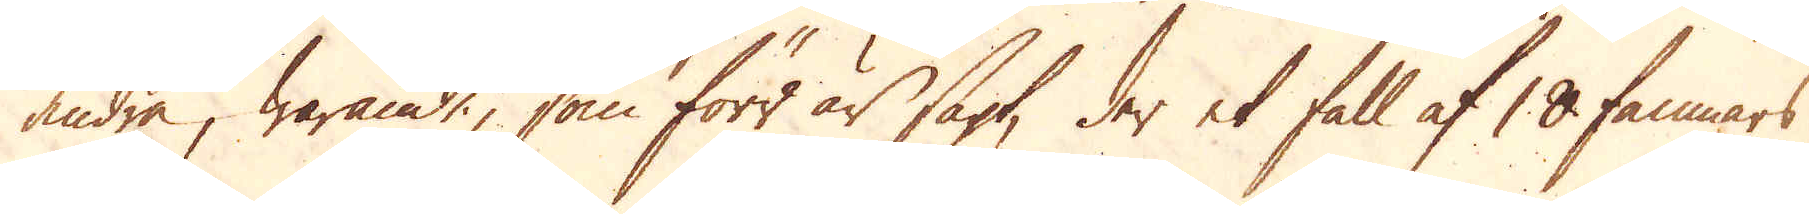andra, warande, som förr är sagt, der et fall af 18 famnars
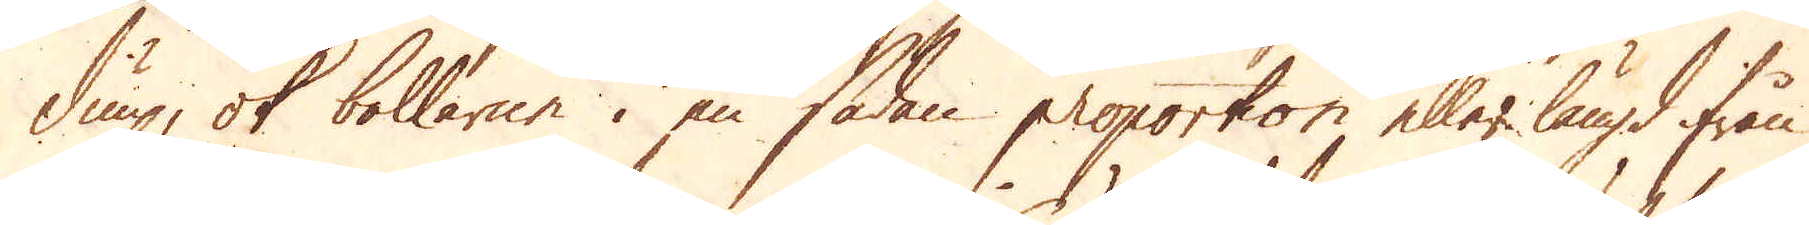diup, ok bollarne i en sådan proportion eller längd ifrån
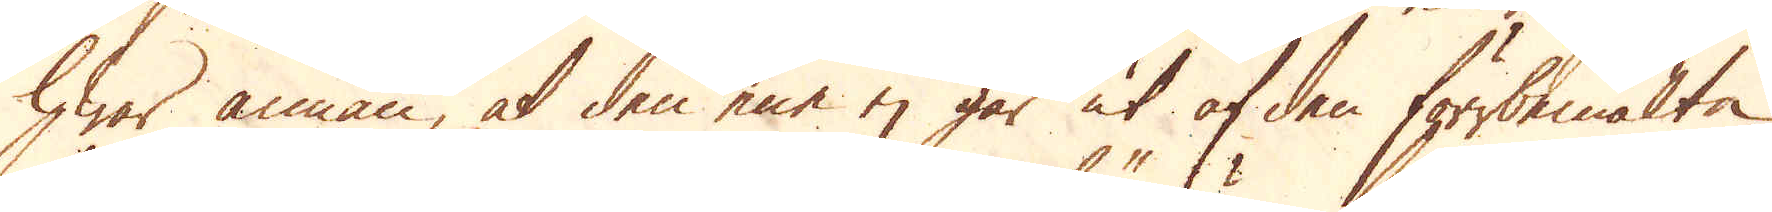hwar annan, at den ene ej går ut af den förrbemälte
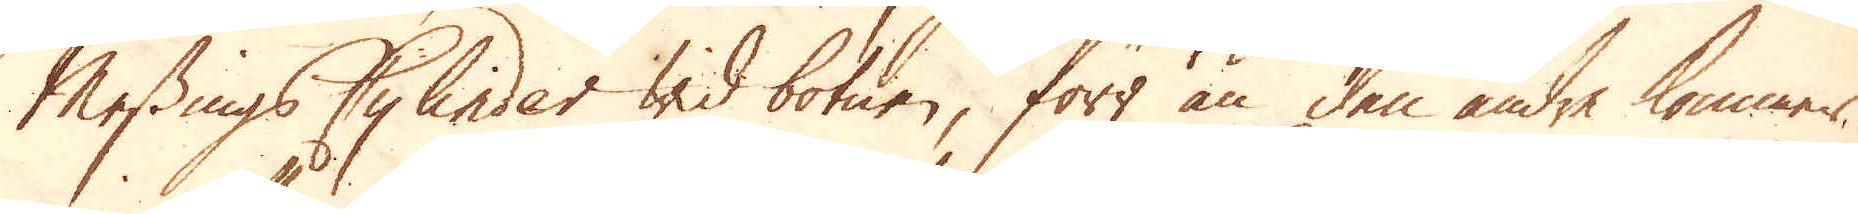Messings Cylinder wid botnen, förr än den andre kommer
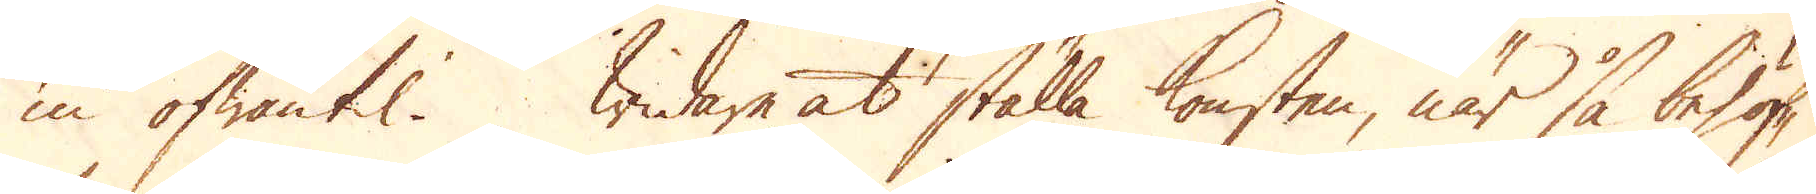in ofwantil. Widare at ställa konsten, när så behöf-
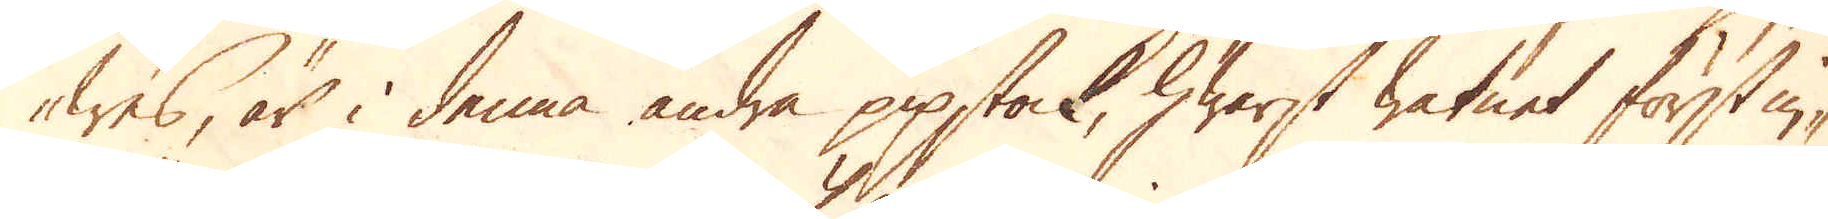wes, är i denna andra pipstock, hwarst watnet först in-
